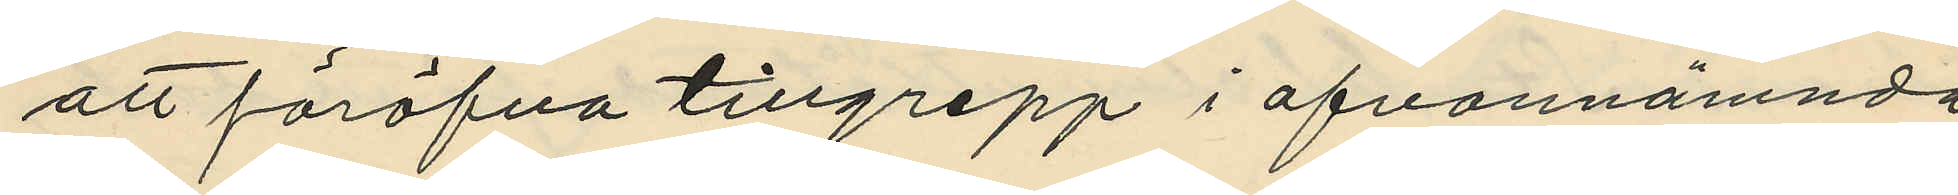att föröfva tillgrepp i ofvannämnda
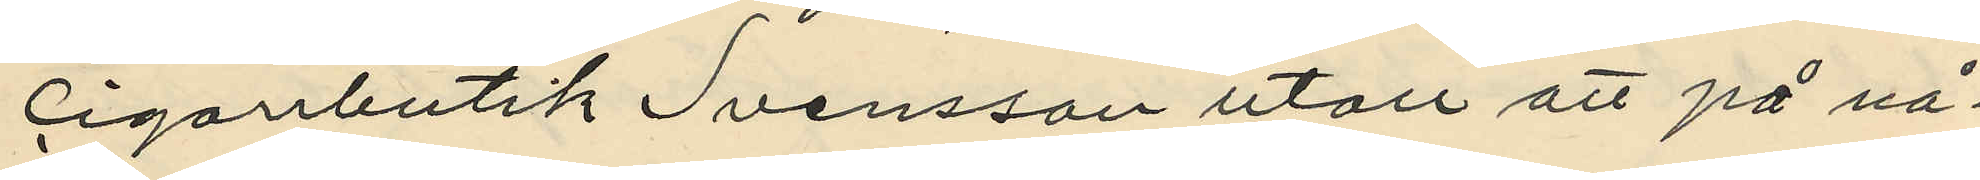cigarrbutik Svensson utan att på nå¬
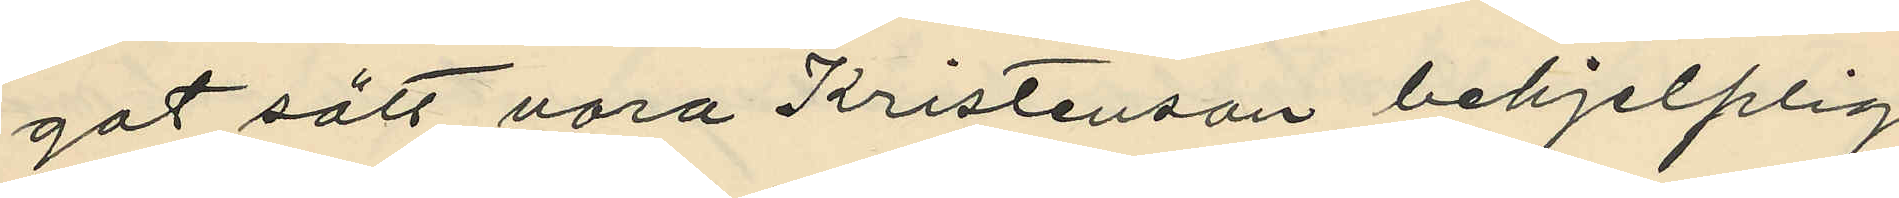got sätt vara Kristenson behjelplig
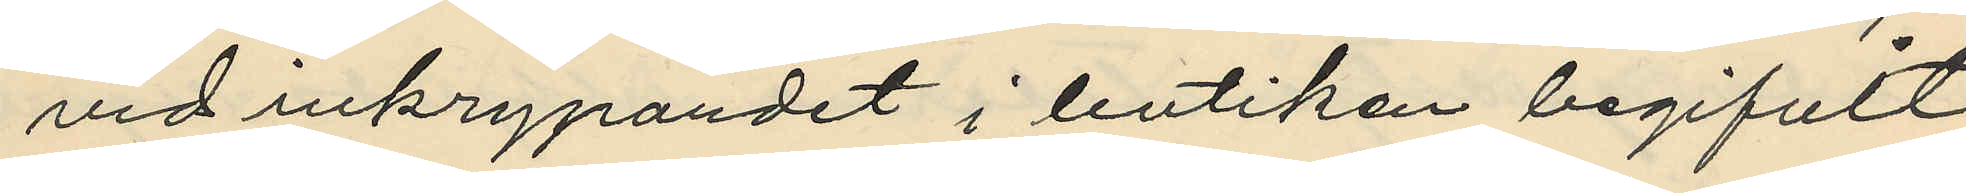vid inkrypandet i butiken begifvit
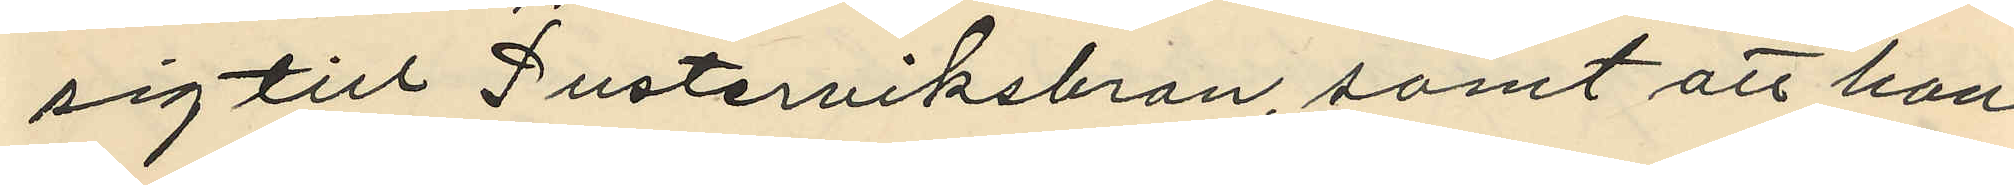sig till Pusterviksbron, samt att han
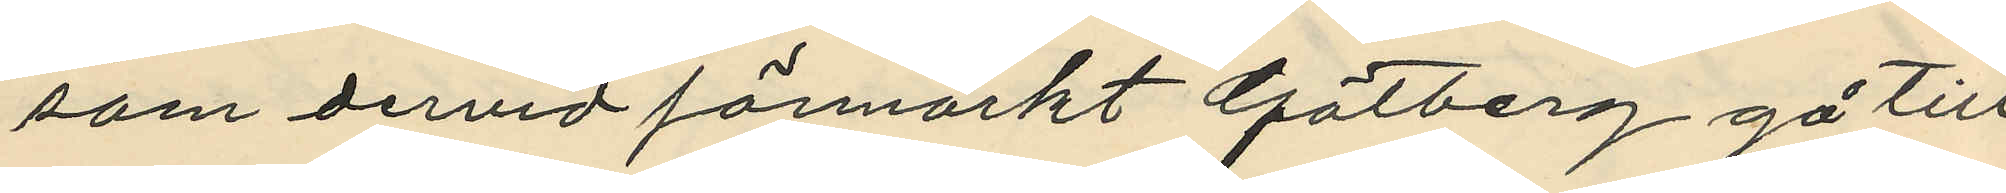som dervid förmärkt Götberg gå till
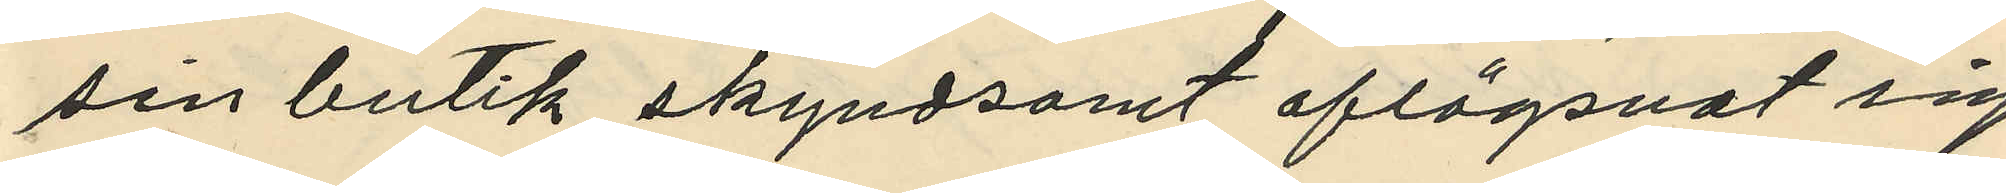sin butik skyndsamt aflägsnat sig.
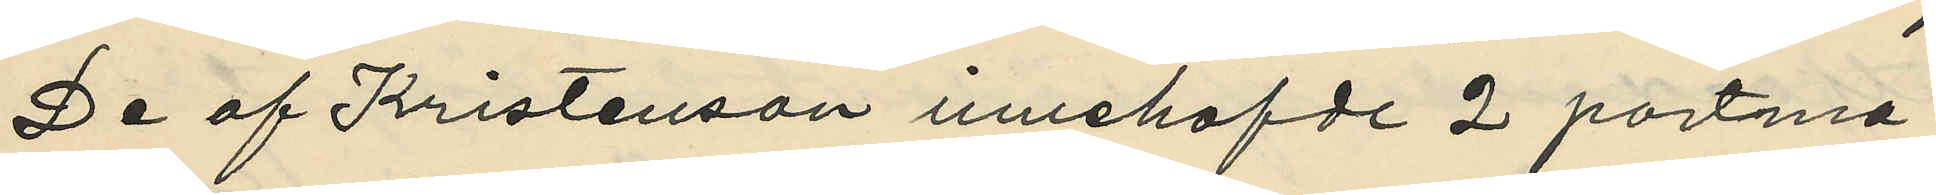De af Kristenson innehafde 2 portmo¬
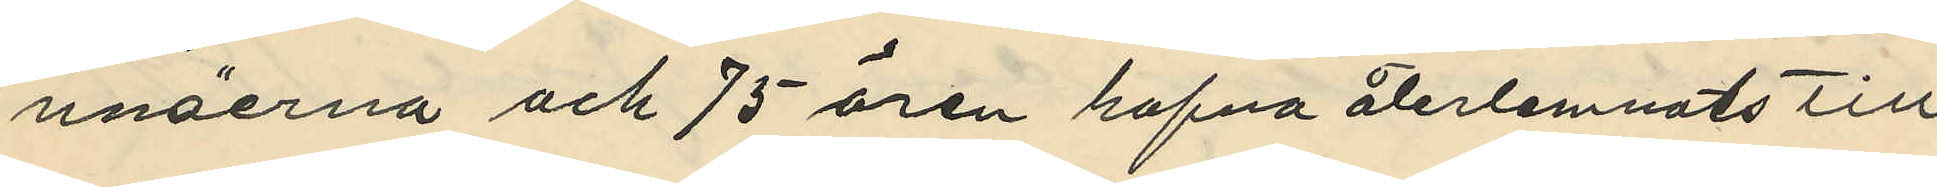nnäerna och 75 ören hafva återlemnats till
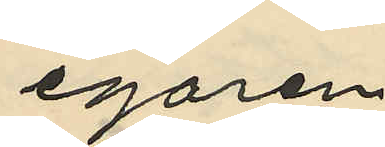egaren.
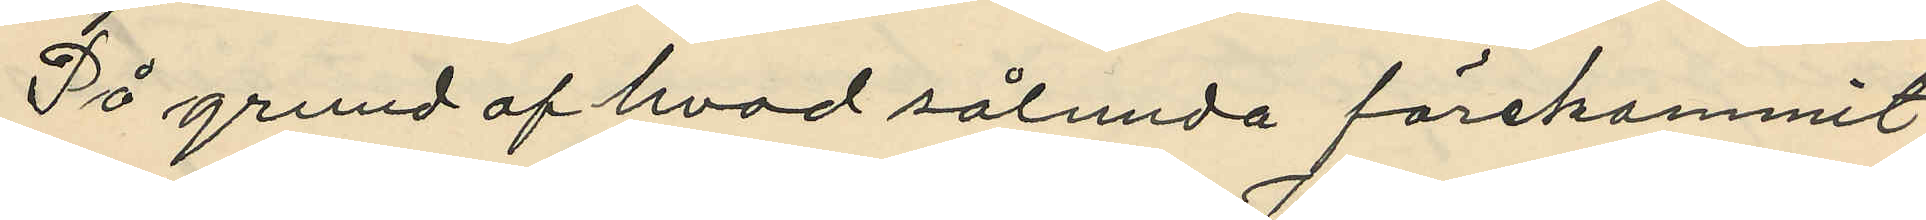På grund af hvad sålunda förekommit
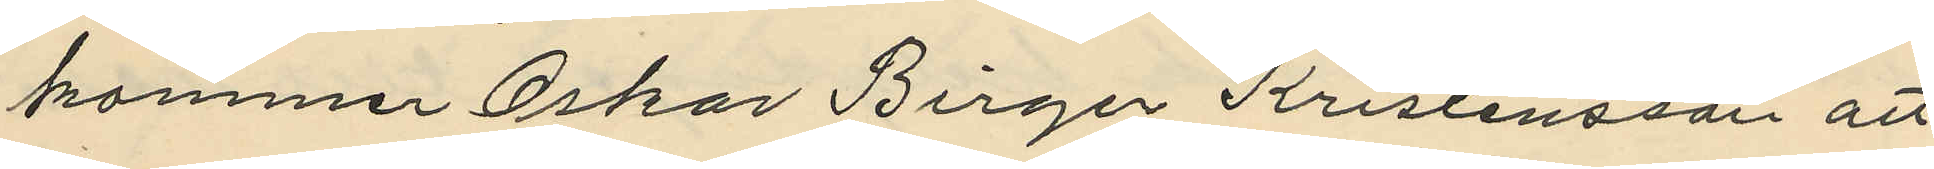kommer Oskar Birger Kristensson att
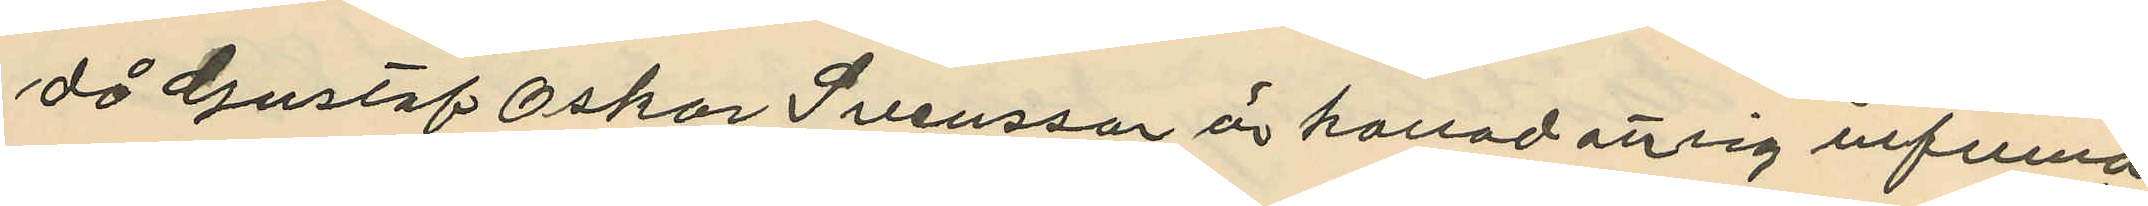då Gustaf Oskar Svensson är kallad att sig infinna
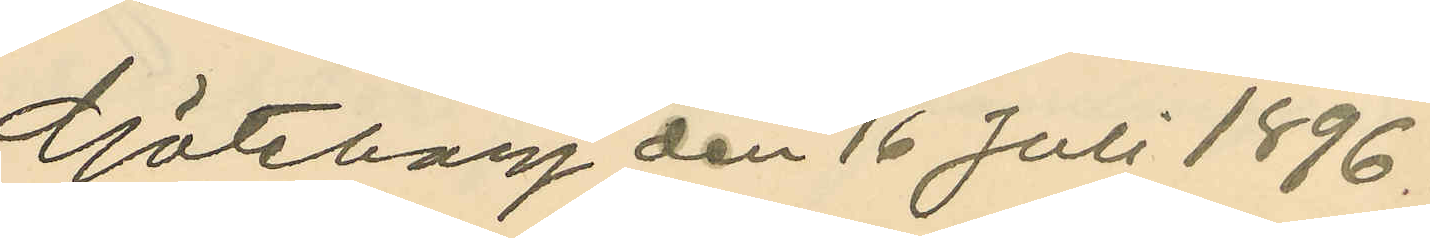Göteborg den 16 Juli 1896.
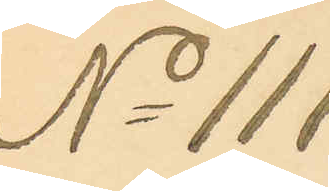No 111
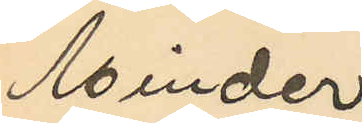Minder¬
